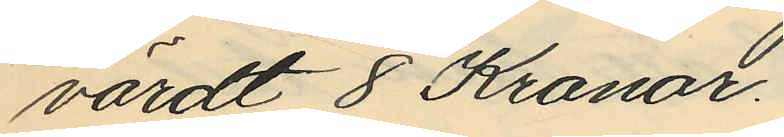värdt 8 Kronor.
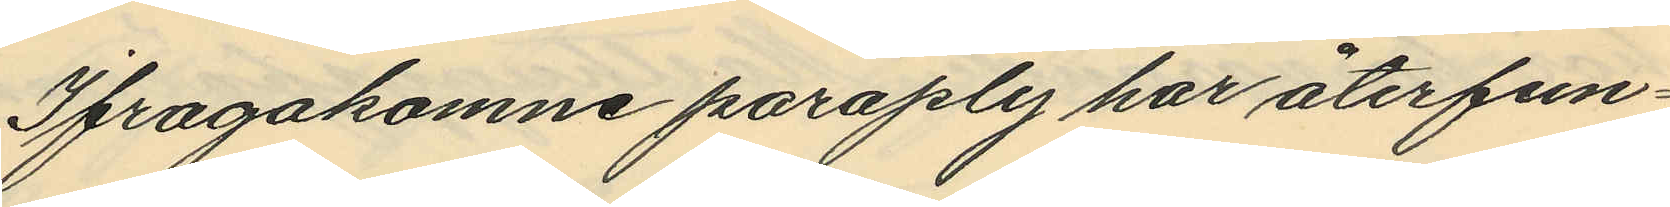Ifragakomne paraply har återfun¬
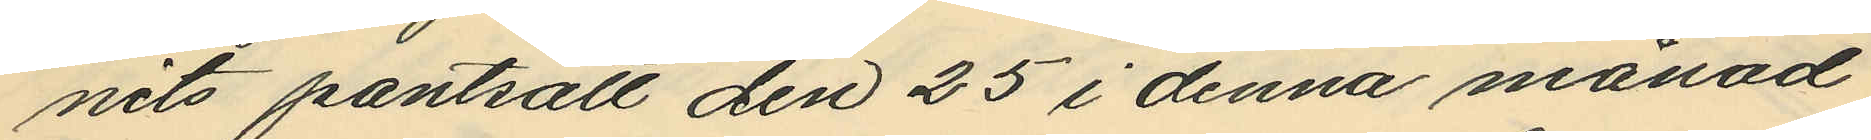nits pantsatt den 25 i denna månad
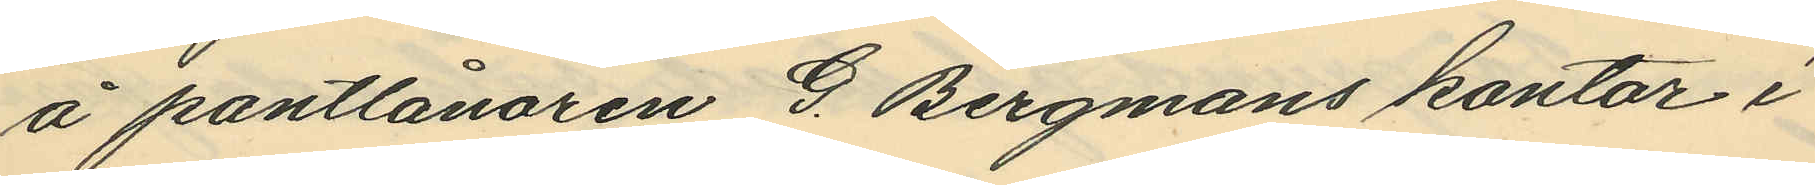å pantlånaren G. Bergmans kontor i
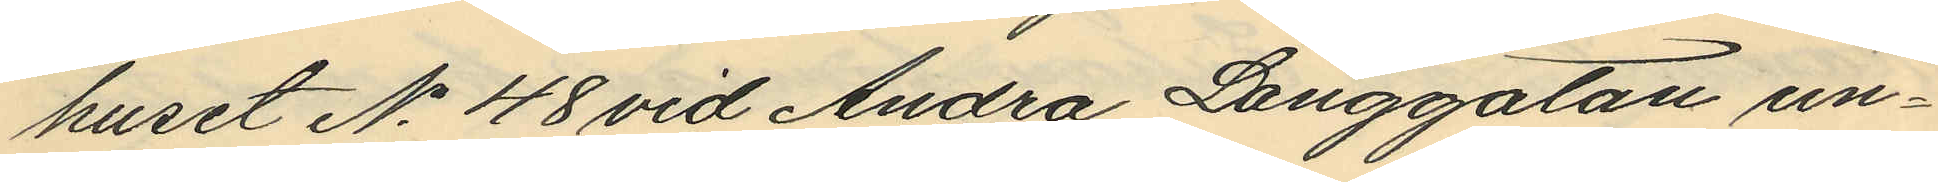huset No 48 vid Andra Långgatan un¬
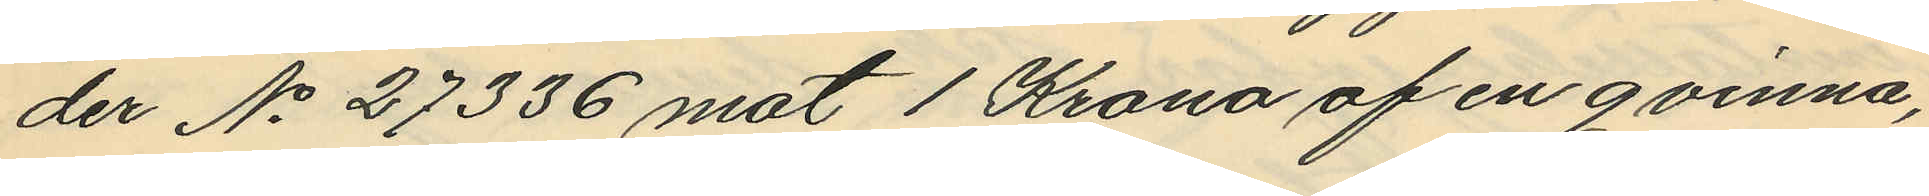der No 27336 mot 1 Krona af en qvinna,
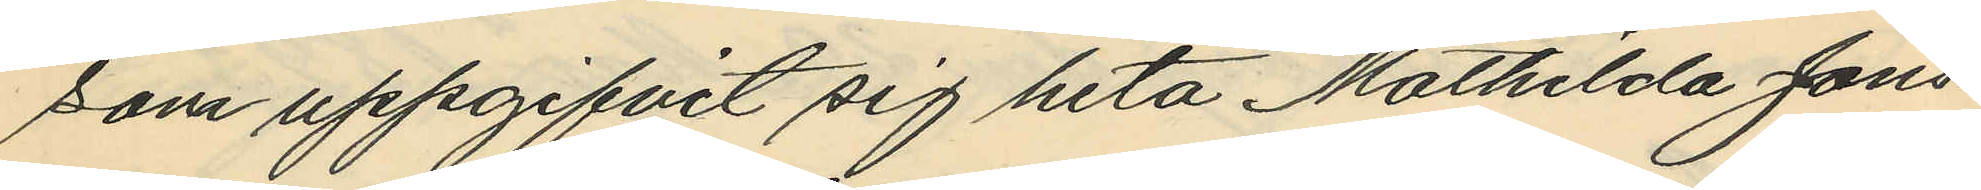som uppgifvit sig heta Mathilda Jons¬
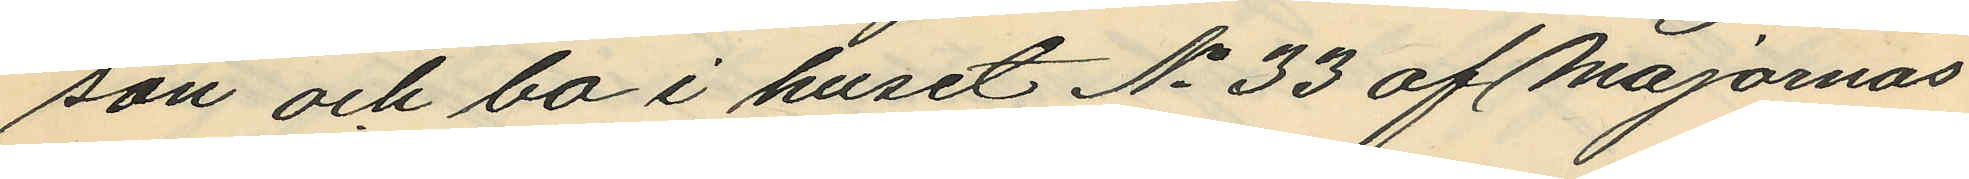son och bo i huset No 33 af Majornas
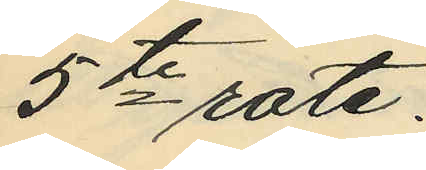5te rote.
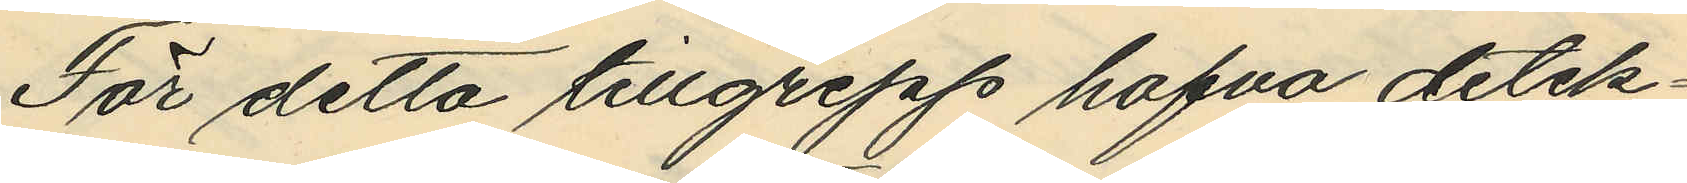För detta tillgrepp hafva detek¬
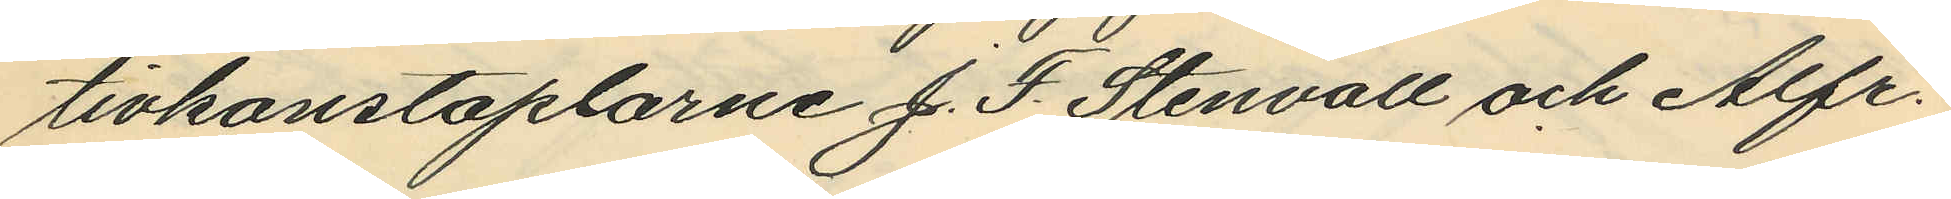tivkonstaplarne J. F. Stenvall och Alfr.
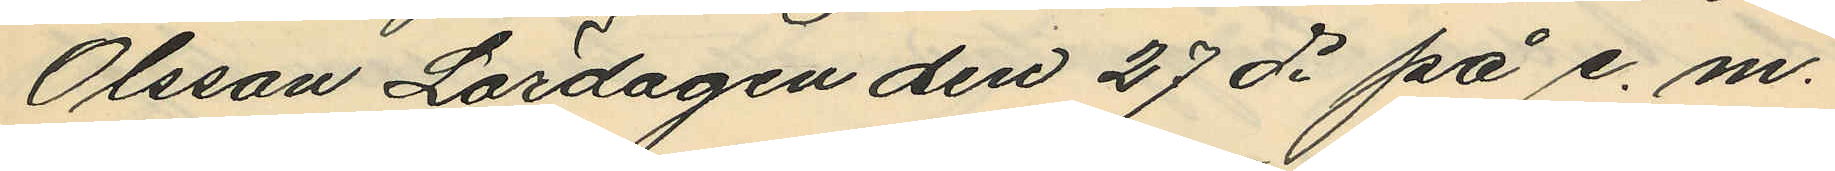Olsson Lördagen den 27 ds på e. m.
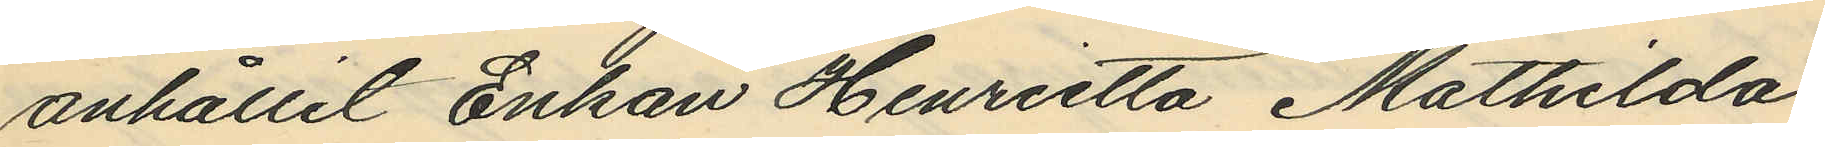anhållit Enkan Henrietta Mathilda
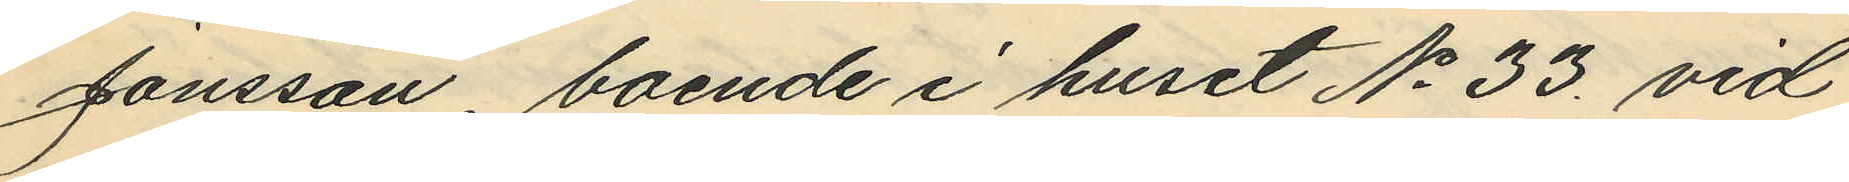Jonsson, boende i huset No 33 vid
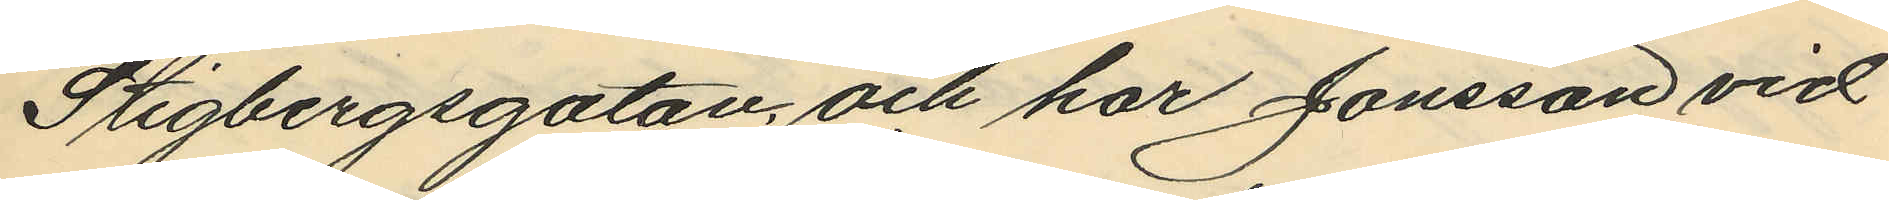Stigbergsgatan; och har Jonsson vid
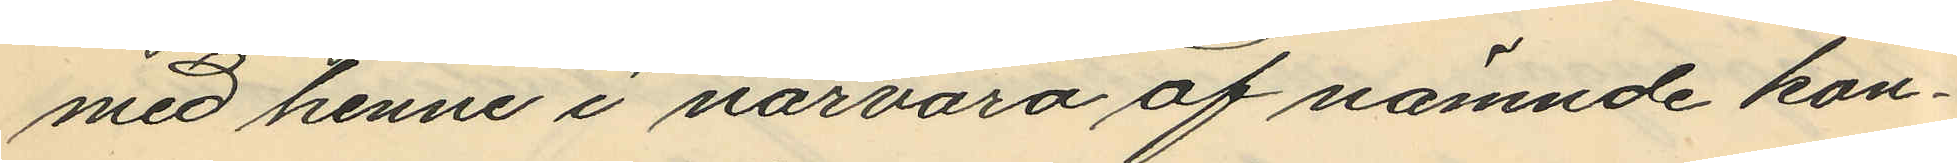med henne i närvaro af nämnde kon¬
